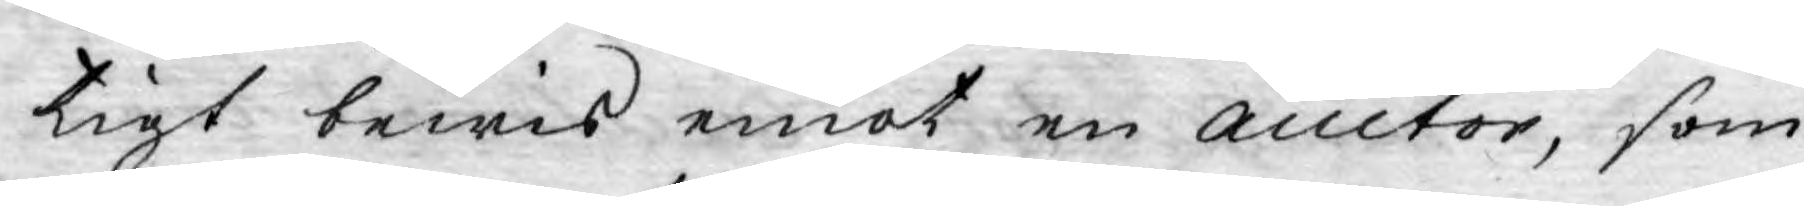tigt bewis emot en auctor, som
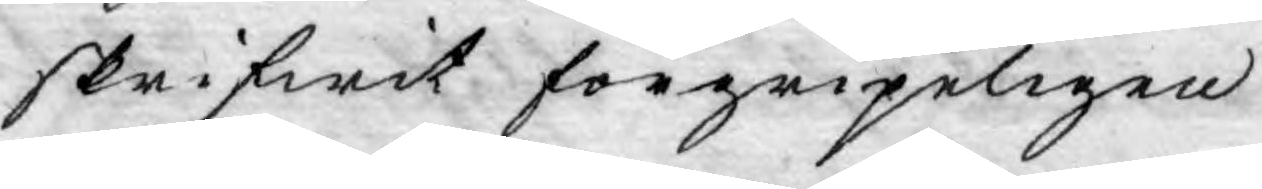skrifwit förgripeligen.
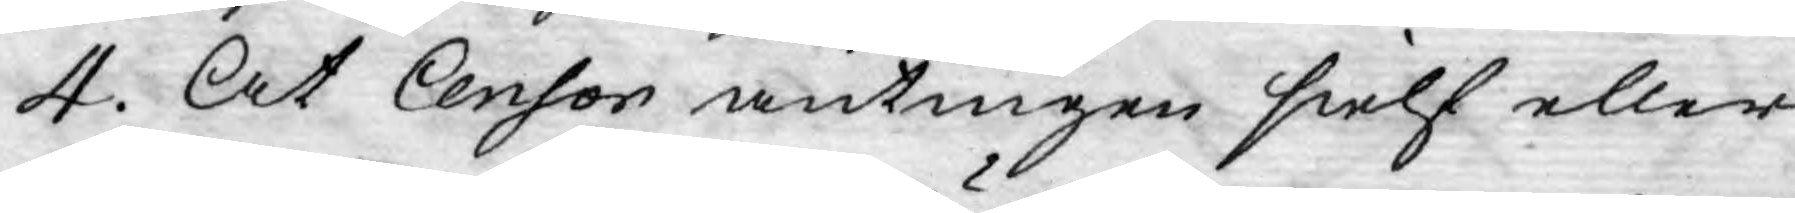4. At Censor antingen sielf eller
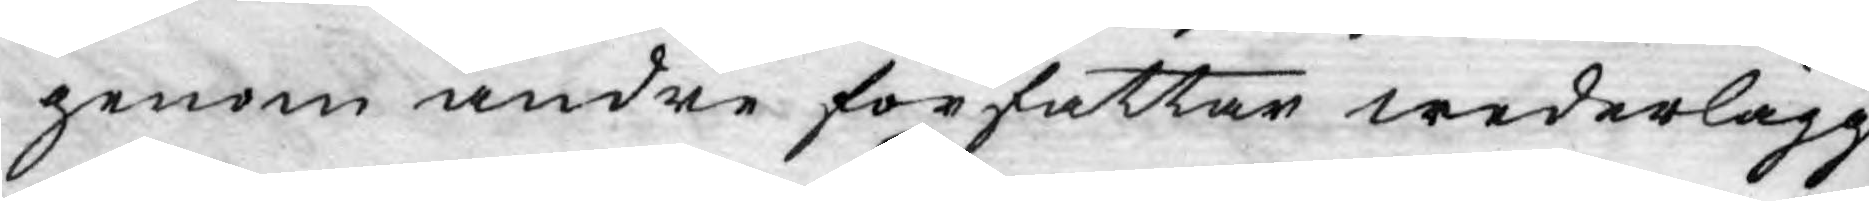genom andre författar wederlägg¬
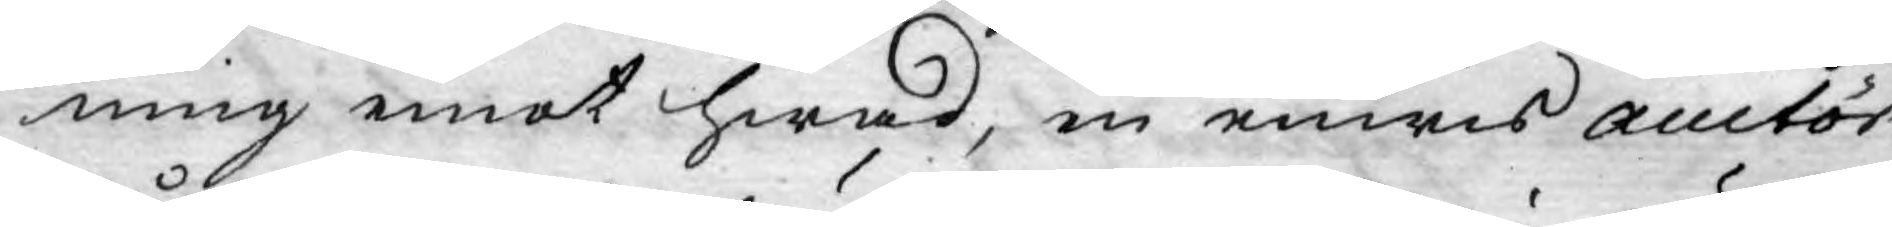ning emot hwad, en enwis auctör
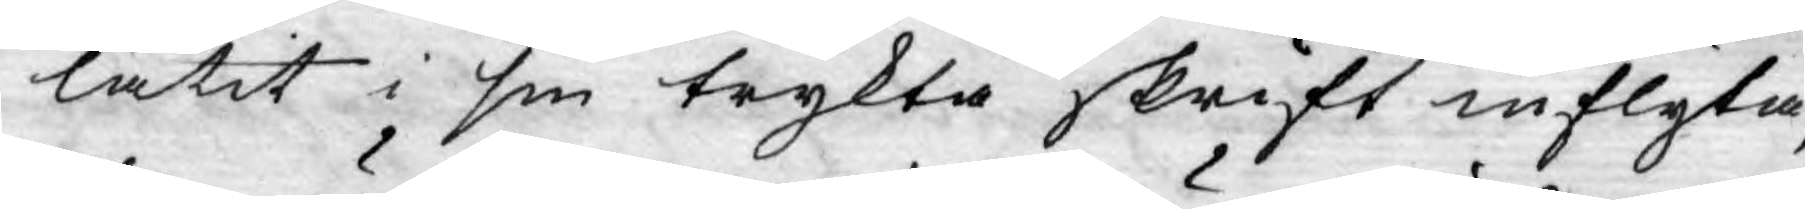låtit i sin trykta skrift inflyta,
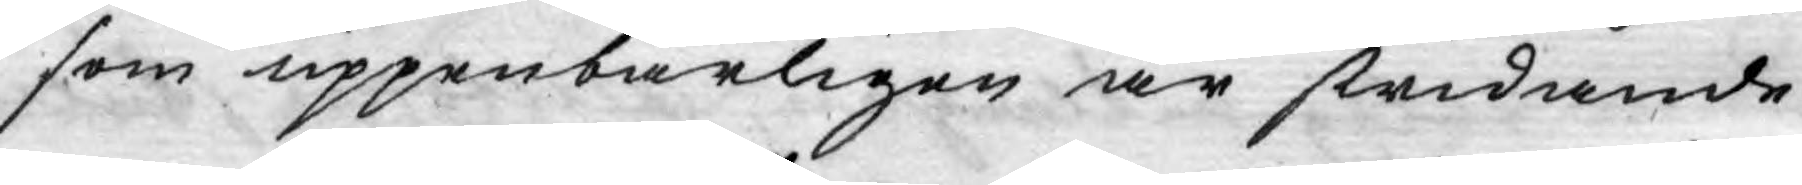som uppenbarligen är stridande
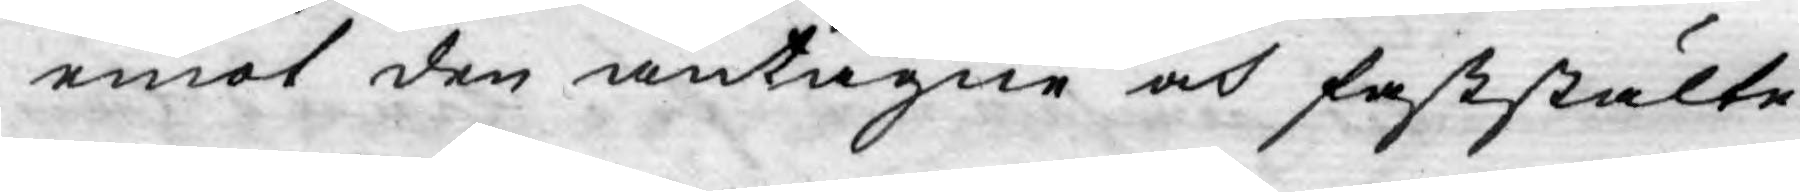emot den antagne och faststälte
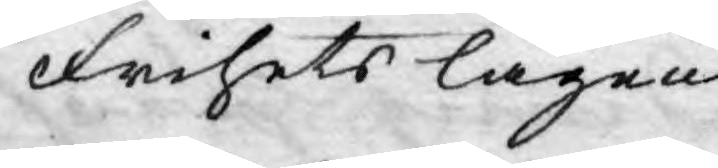Frihetslagen.
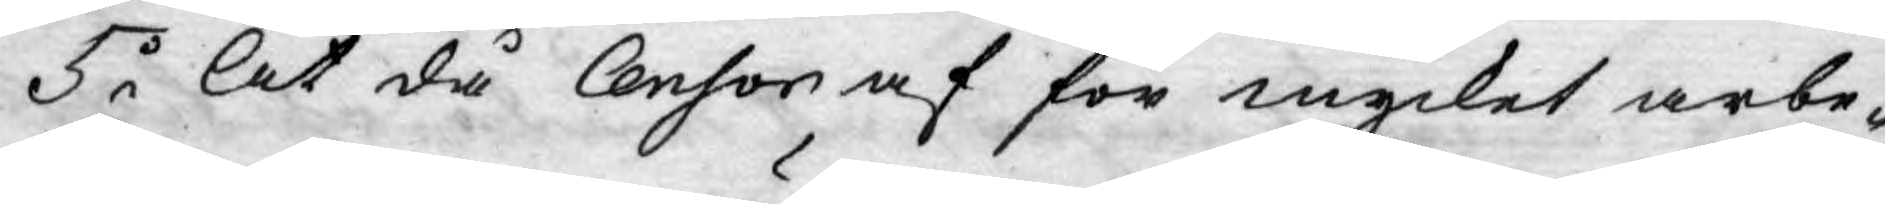5o At då Censor af för mycket arbe¬
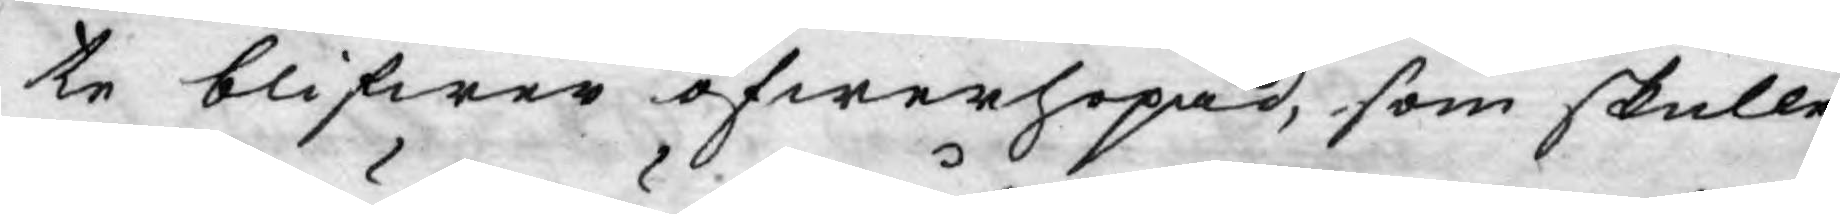te blifwer öfwerhopad, som skulle
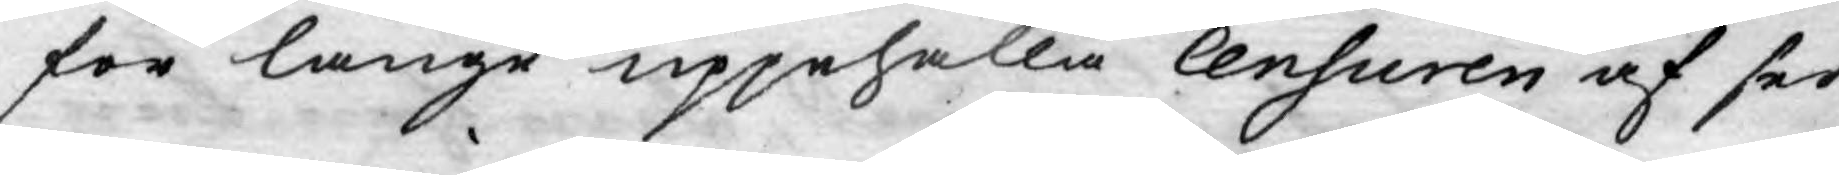för länge uppehålla Censuren af sed¬
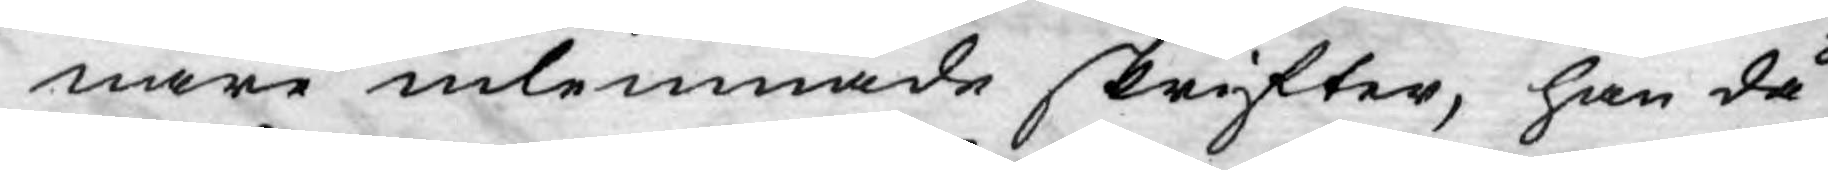nare inlemnade skrifter, han då
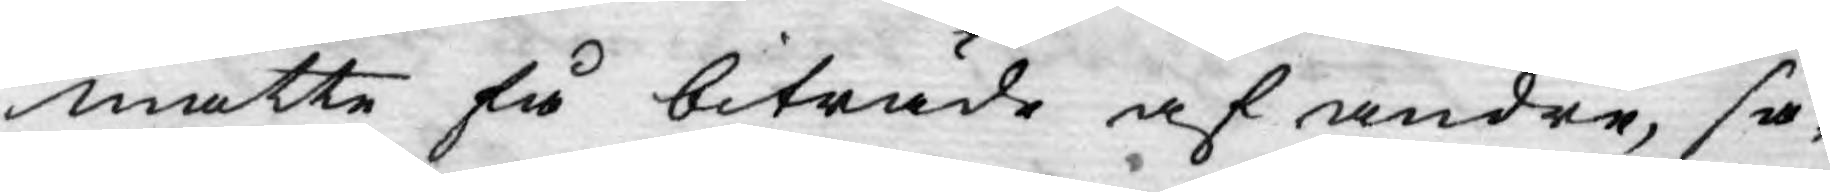måtte få biträde af andre, så¬
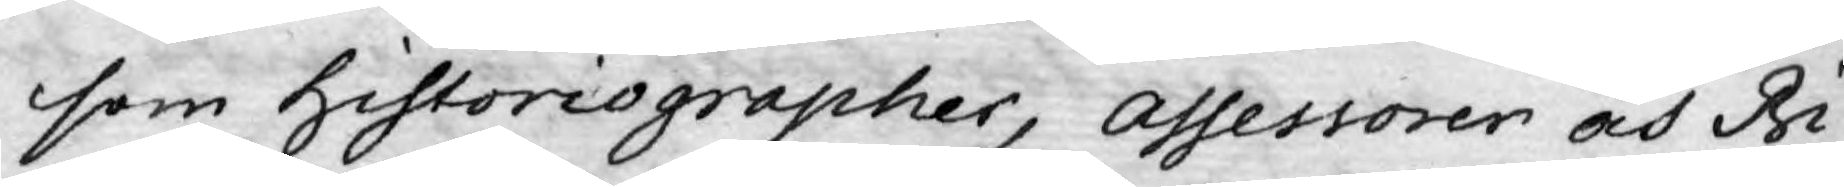som historiographer, assessorer och Bi¬
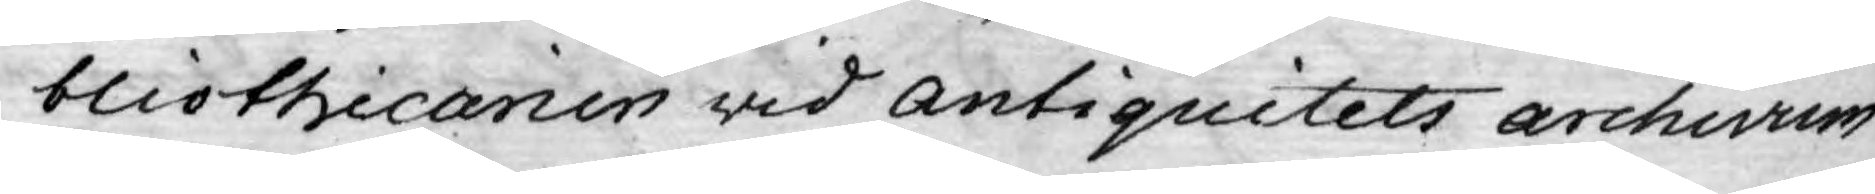bliothicarien wid antiquitets archivum
